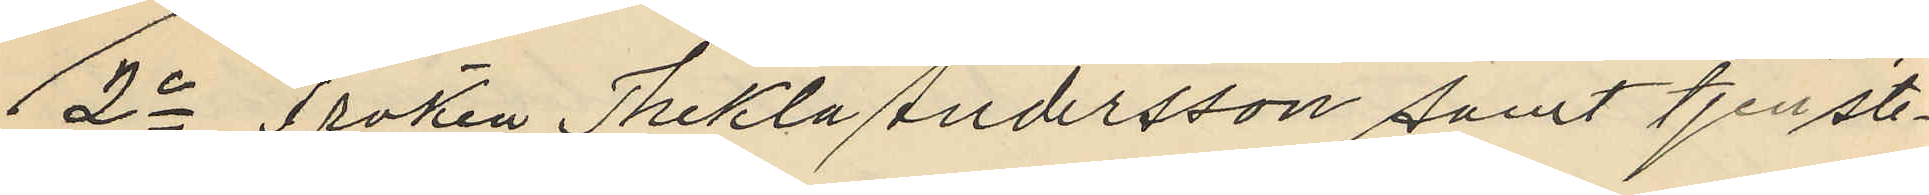2o Fröken Thekla Andersson samt tjenste¬
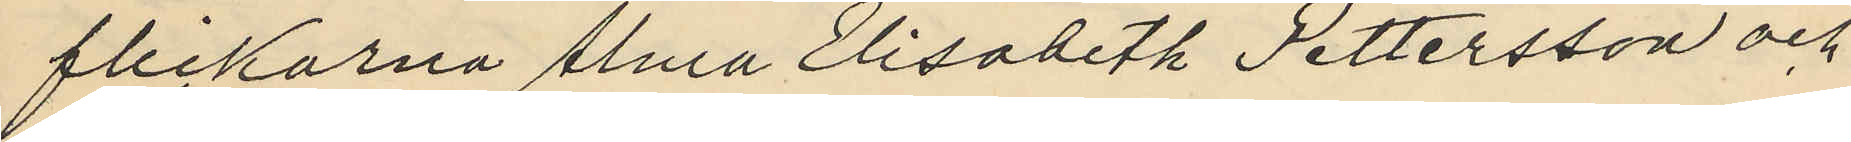flickorna Alma Elisabeth Pettersson och
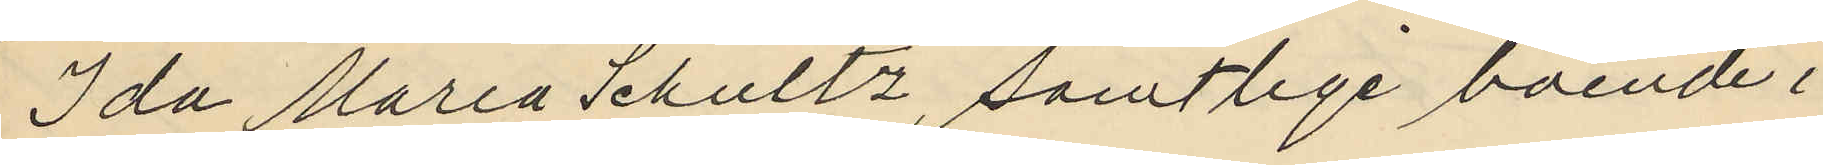Ida Maria Schultz, samtlige boende i
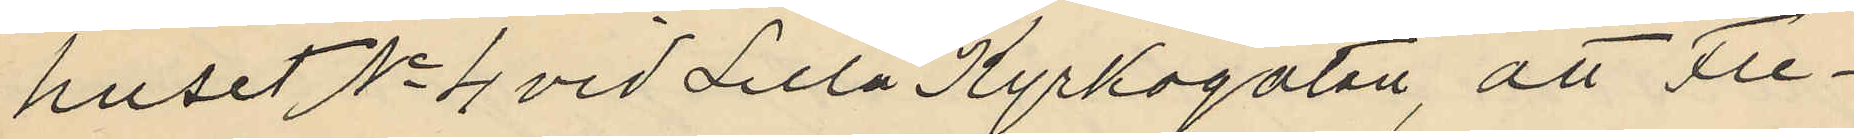huset No 4 vid Lilla Kyrkogatan, att Fre¬
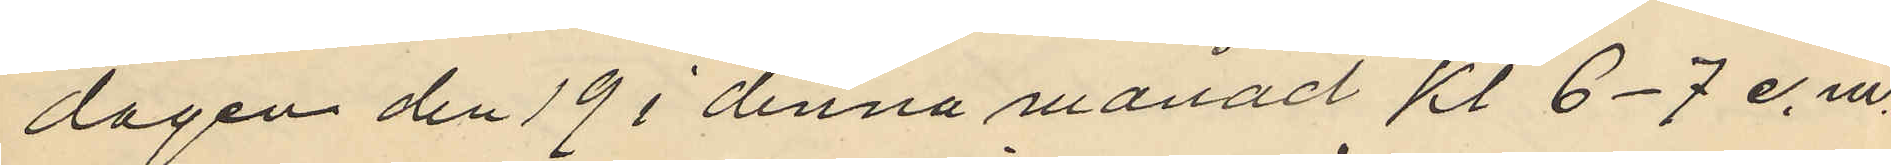dagen den 19 i denna månad kl 6-7 e.m.
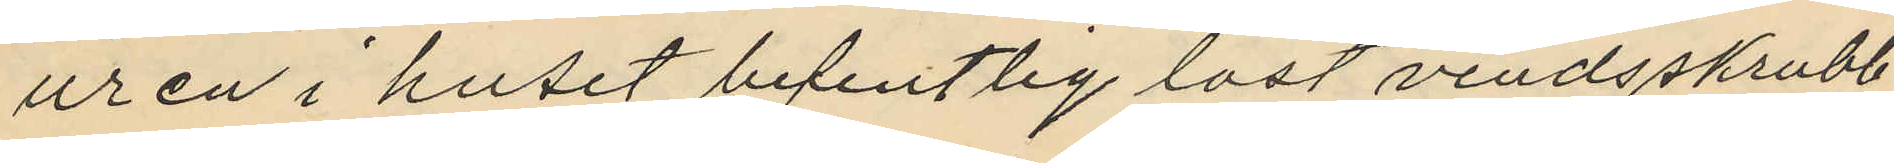ur en i huset befintlig låst vindsskrubb
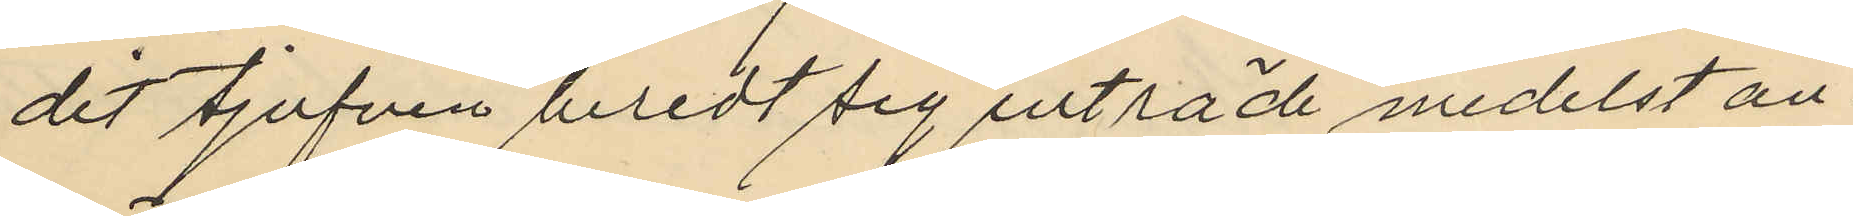dit tjufven beredt sig inträde medelst an¬
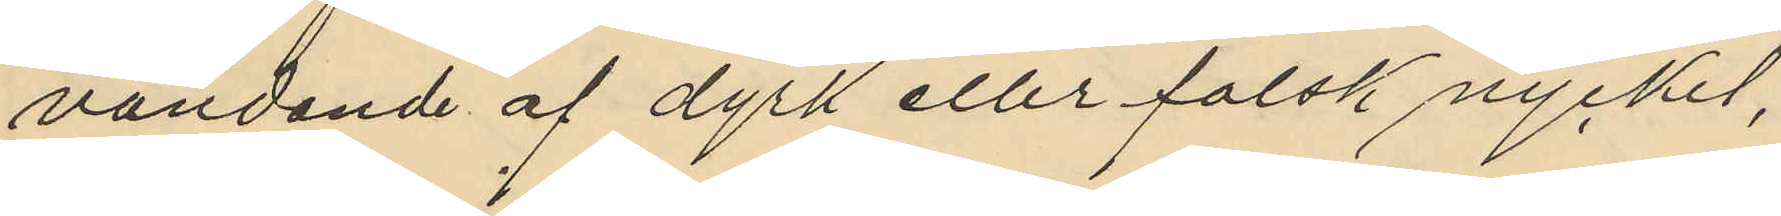vändande af dyrk eller falsk nyckel,
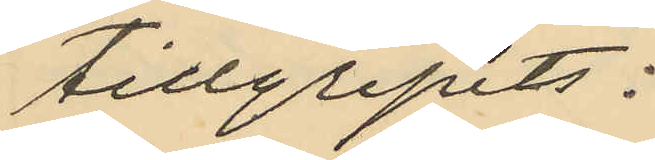tillgripits:
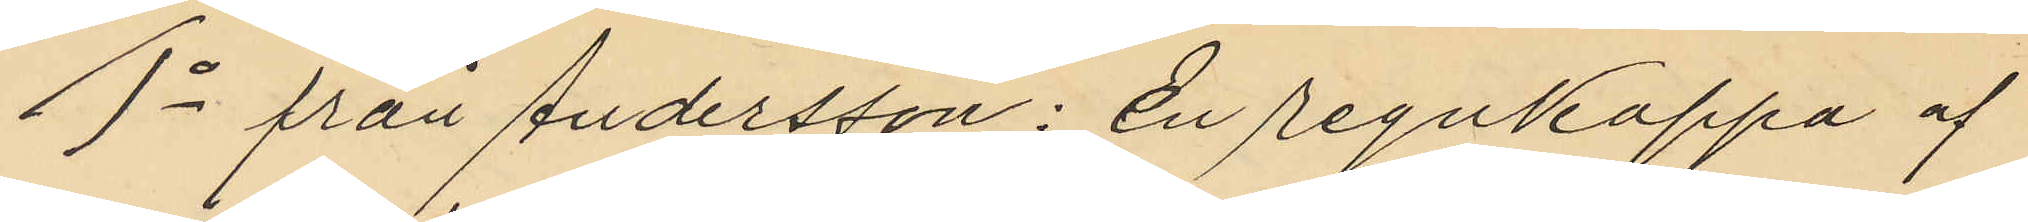1o från Andersson: En regnkappa af
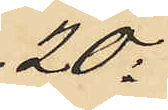20:
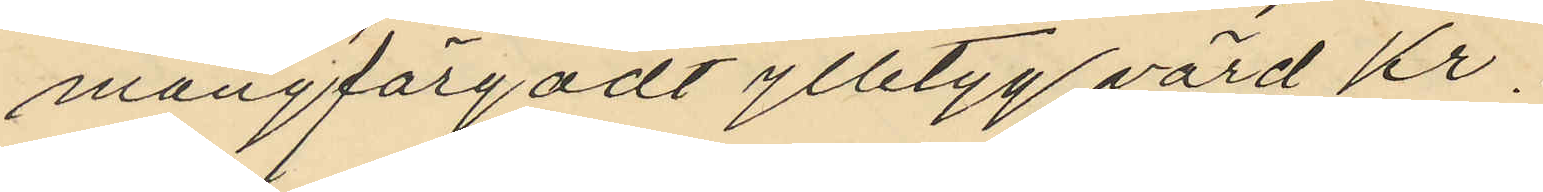mångfärgadt ylletyg värd Kr.
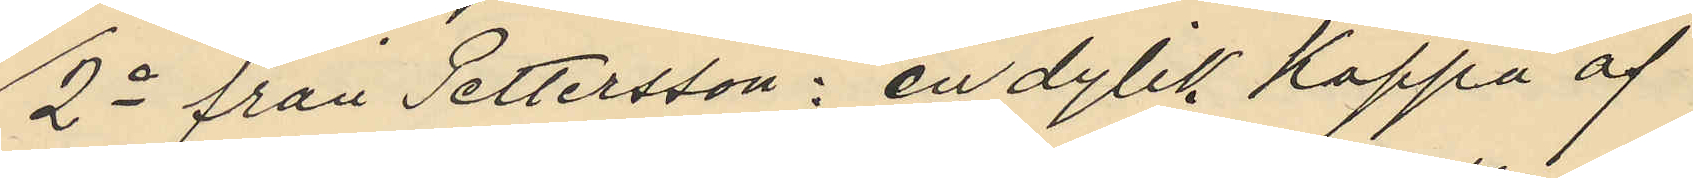2o från Pettersson: en dylik kappa af
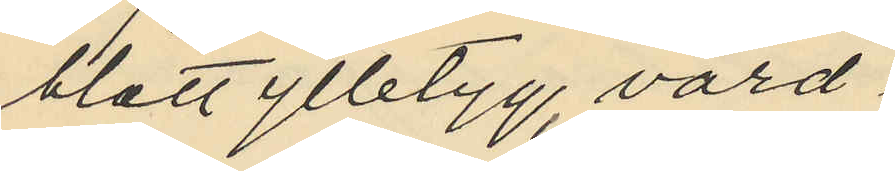blått ylletyg, värd
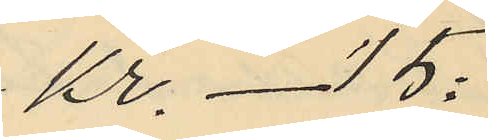Kr. - 15:
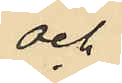och
